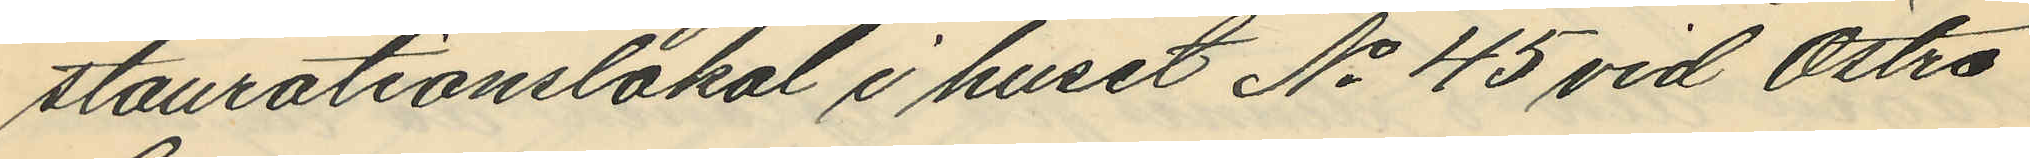staurationslokal i huset No 45 vid Östra
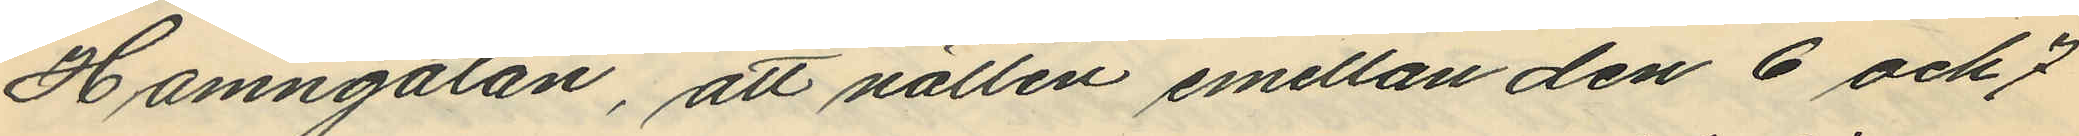Hamngatan, att natten emellan den 6 och 7
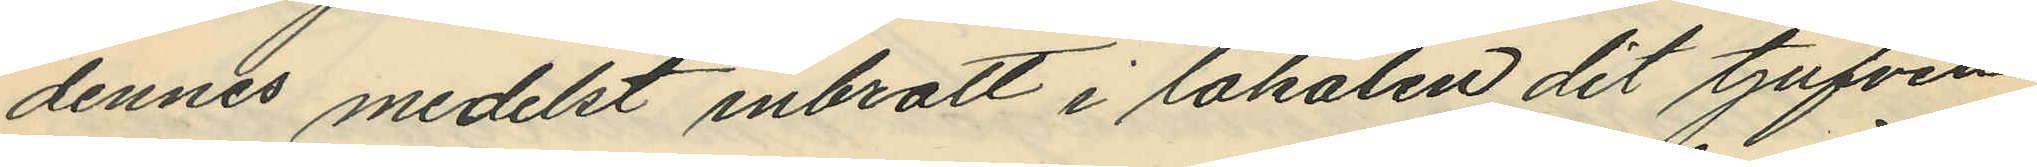dennes medelst inbrott i lokalen dit tjufven
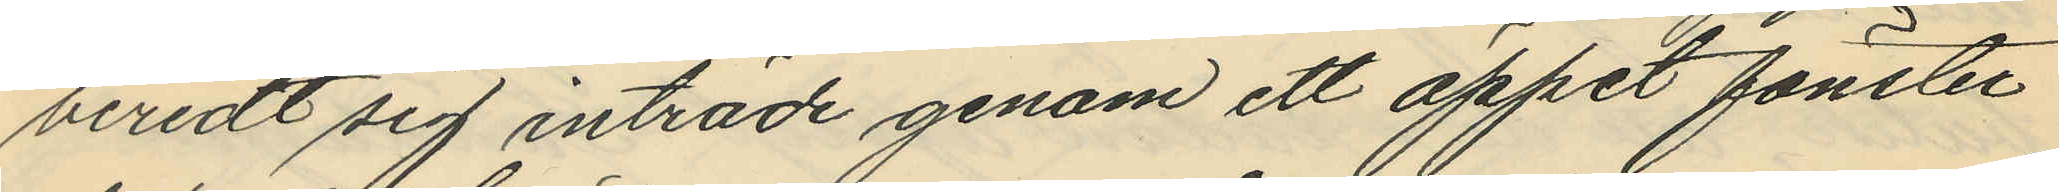beredt sig inträde genom ett öppet fönster
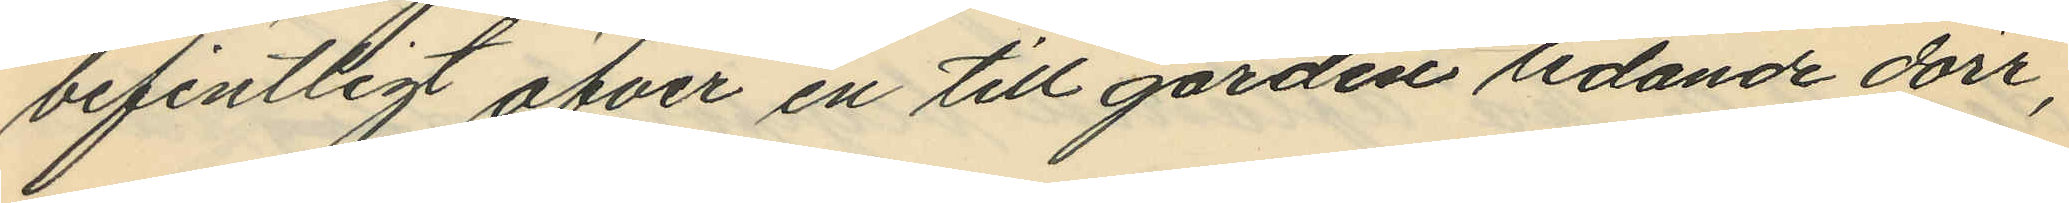befintligt öfver en till gården ledande dörr,
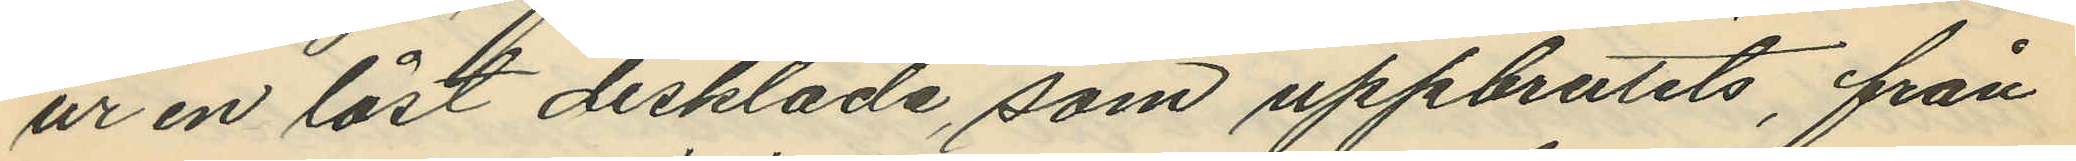ur en låst disklåda, som uppbrutits, från
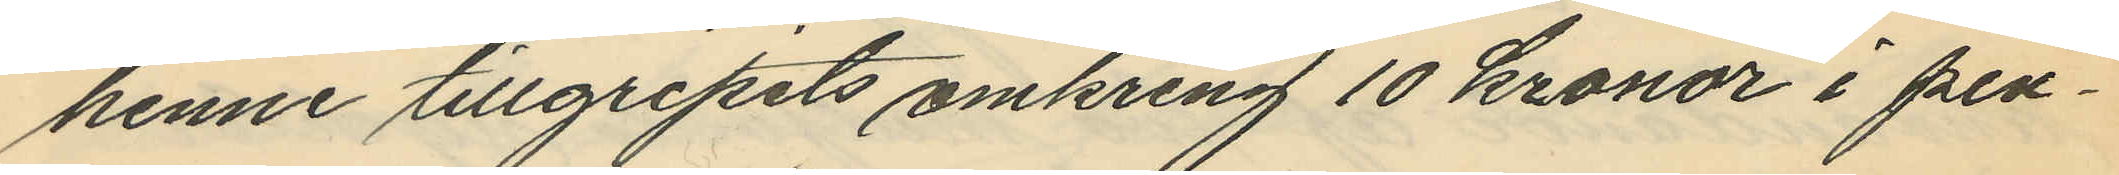henne tillgripits omkring 10 kronor i pen¬
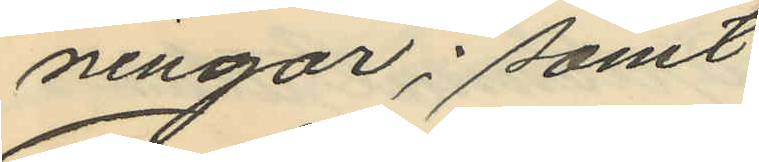ningar; samt
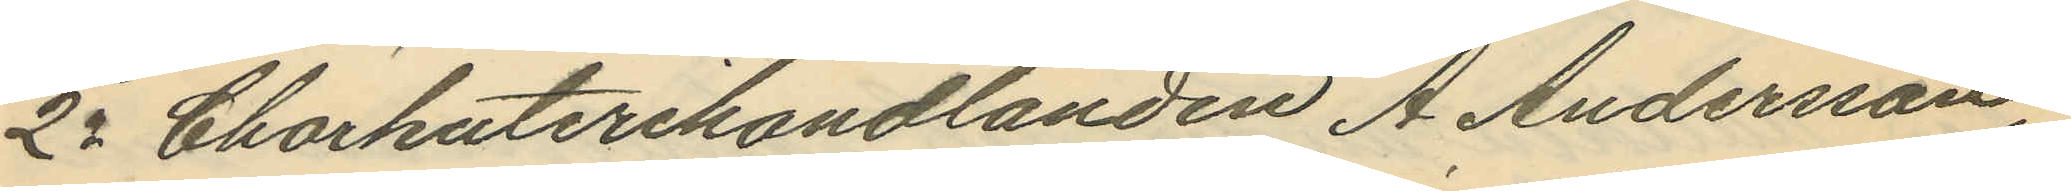2o Charkuterihandlanden A. Andersson,
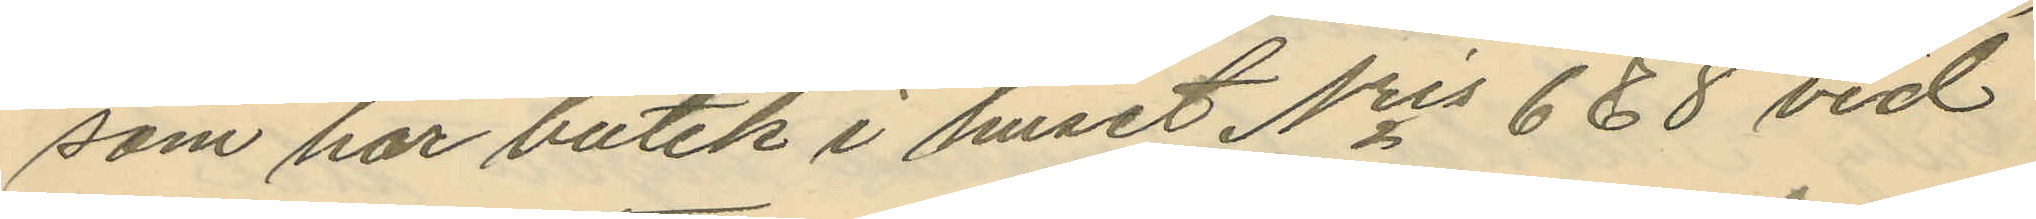som har butik i huset Nris 6 & 8 vid
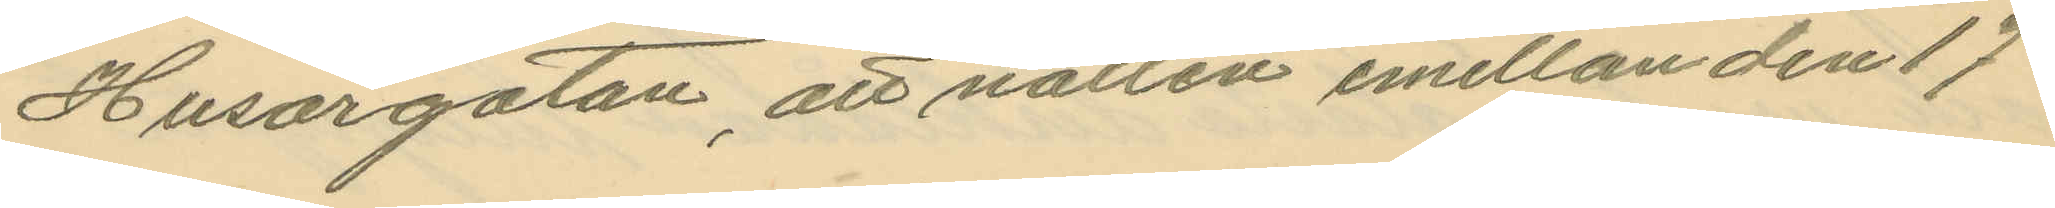Husargatan, att natten emellan den 17
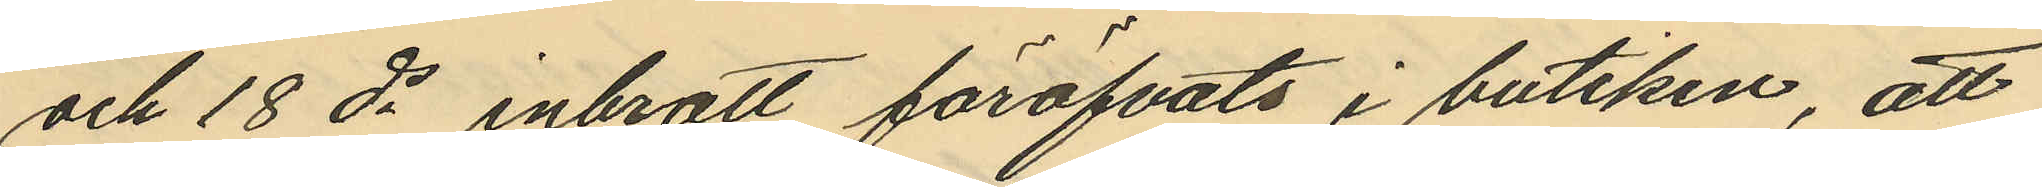och 18 ds inbrott föröfvats i butiken, att
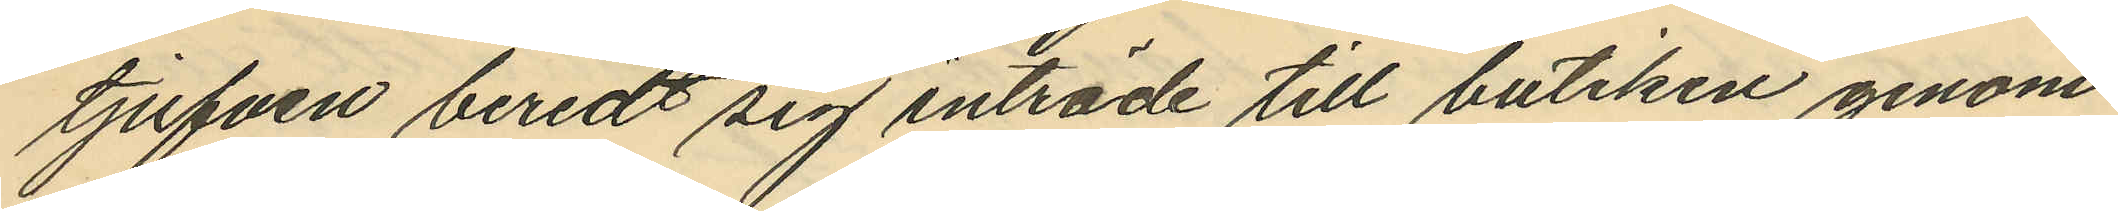tjufven beredt sig inträde till butiken genom
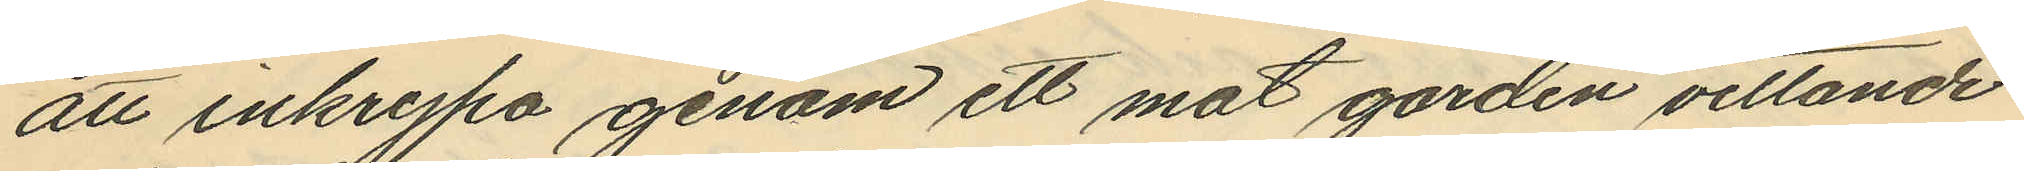att inkrypa genom ett mot gården vettande
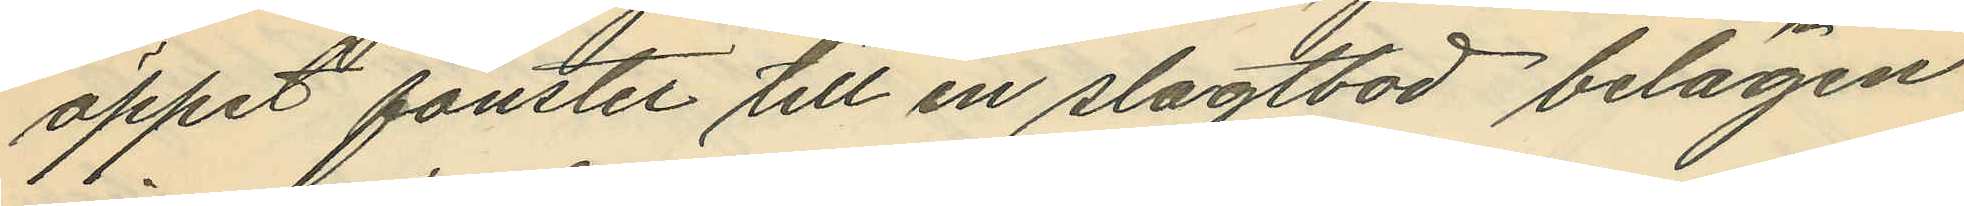öppet fönster till en slagtbod belägen
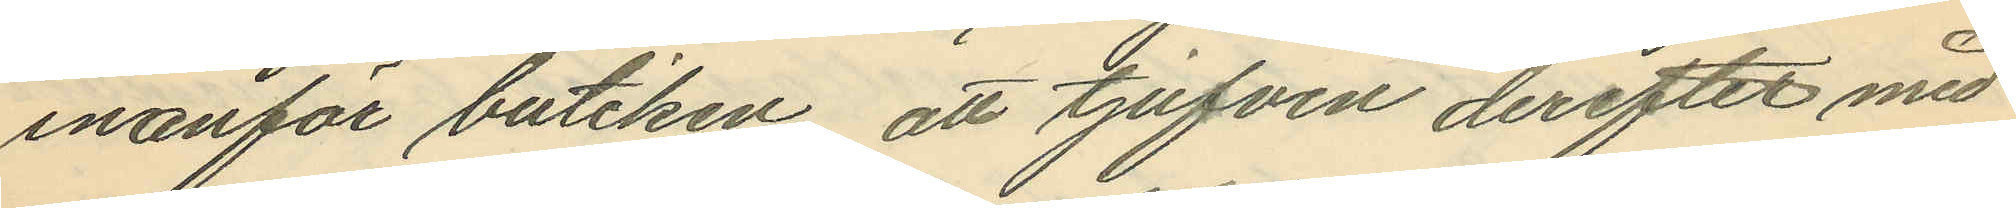inanför butiken, att tjufven derefter med
